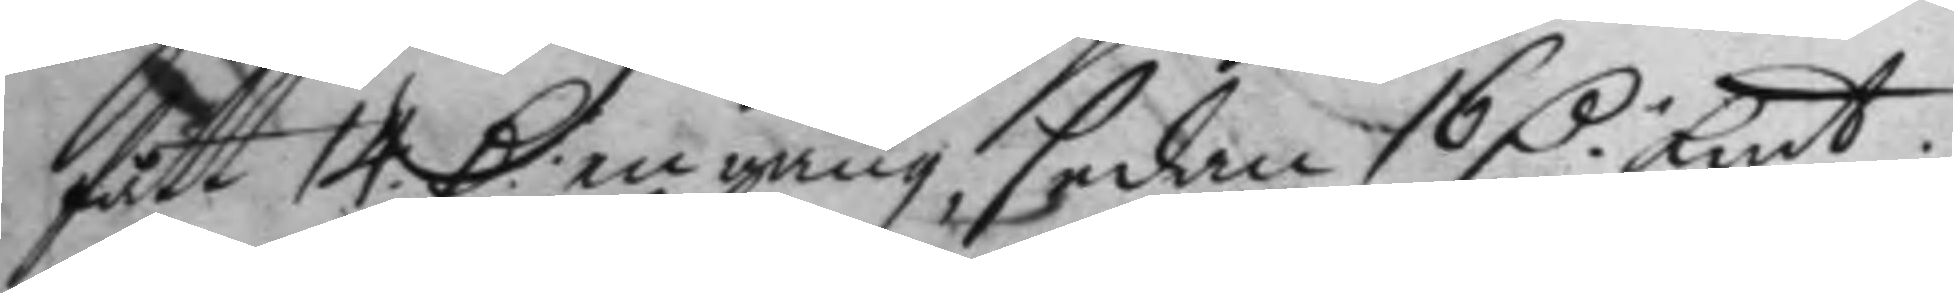fått 14 D.r en gång, sedan 16 D.r Kmt 
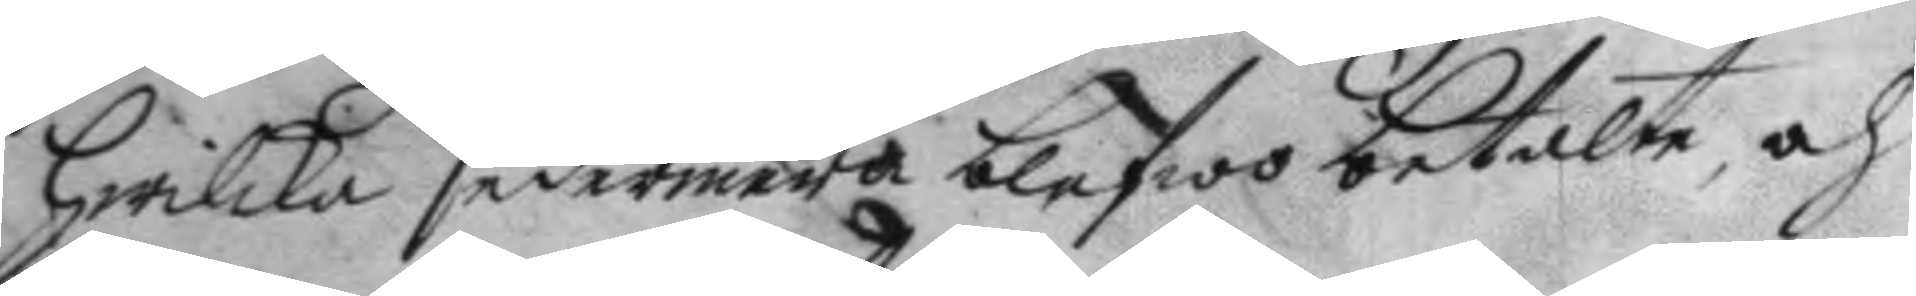hwilka sedermera blefwo betalte, och
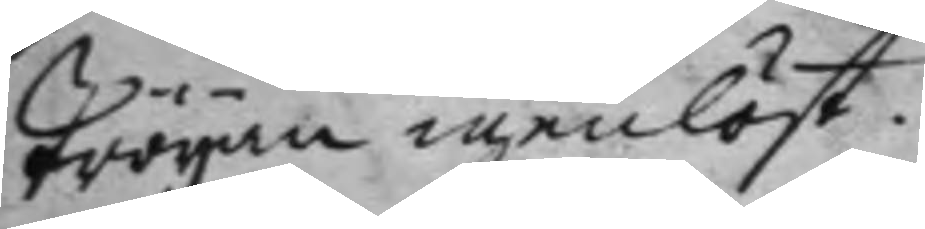Tröyan igenlöst.
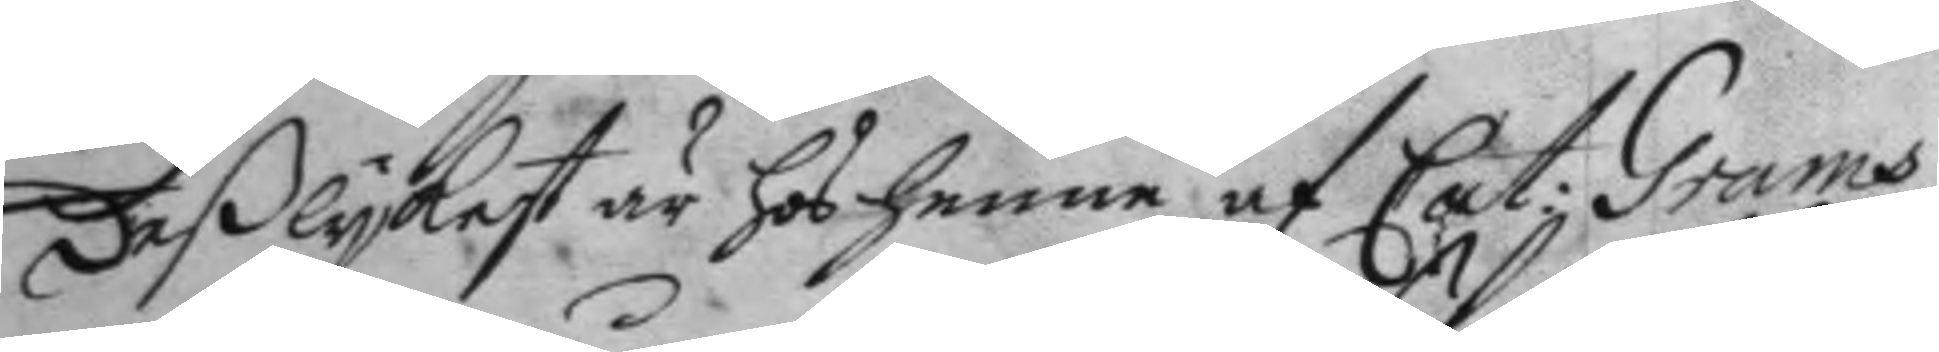Deßlykest är hos henne af Cat: Grams 
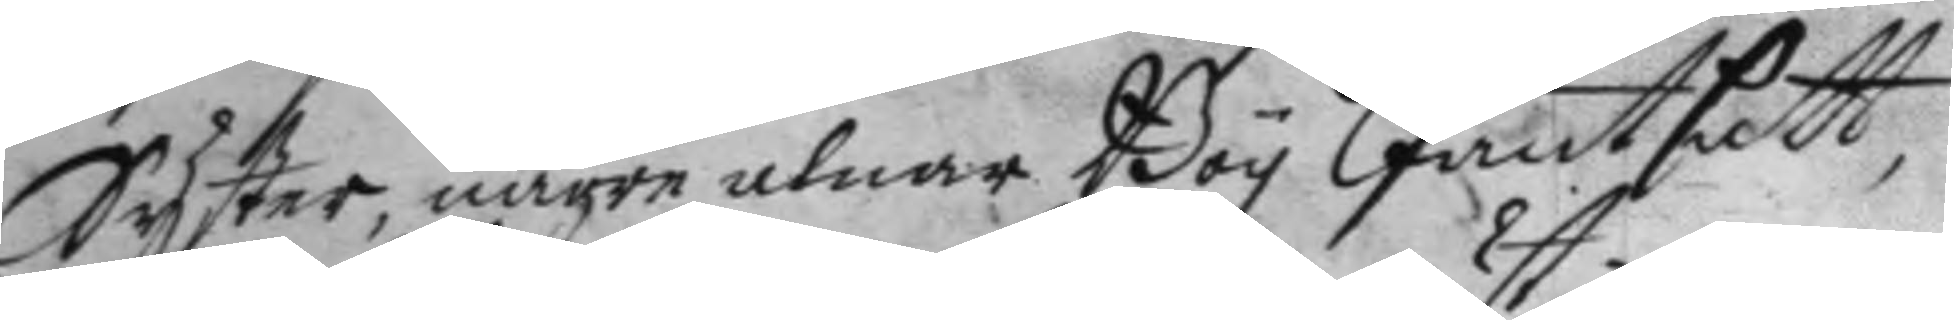Syster, någre alnar Boy Pantsatt
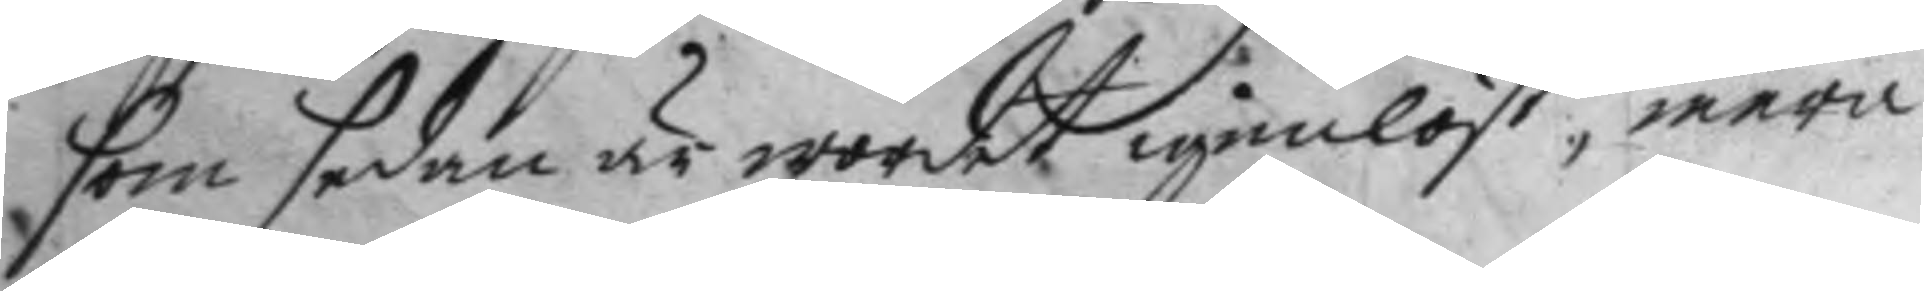som sedan är wordet igenlöst; mera
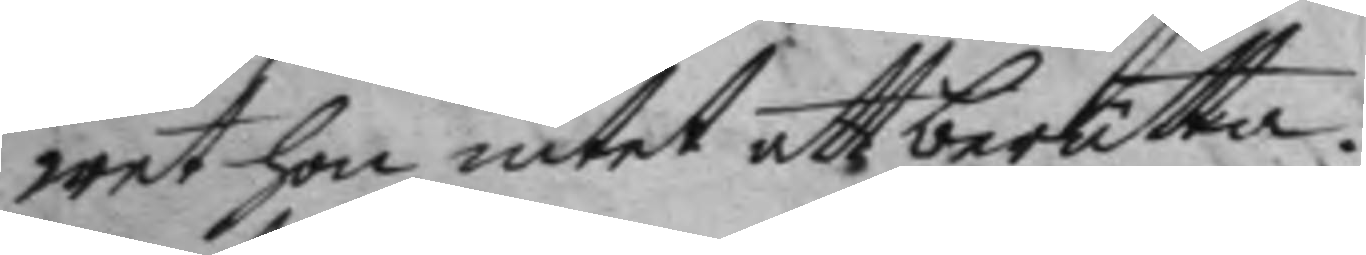wet hon intet att berätta.
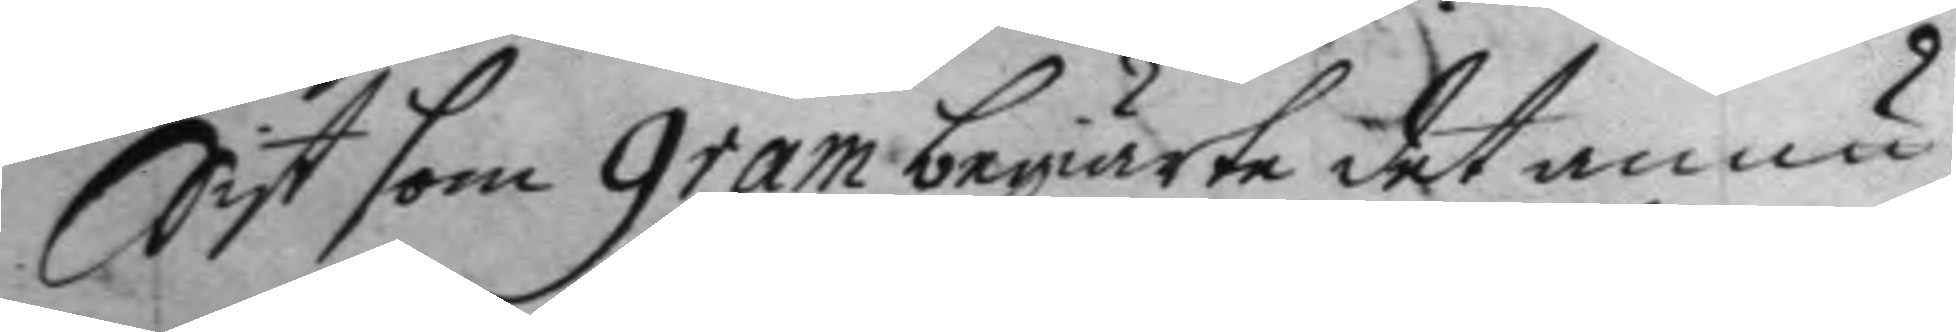Sist som Gram begiärte det ännu
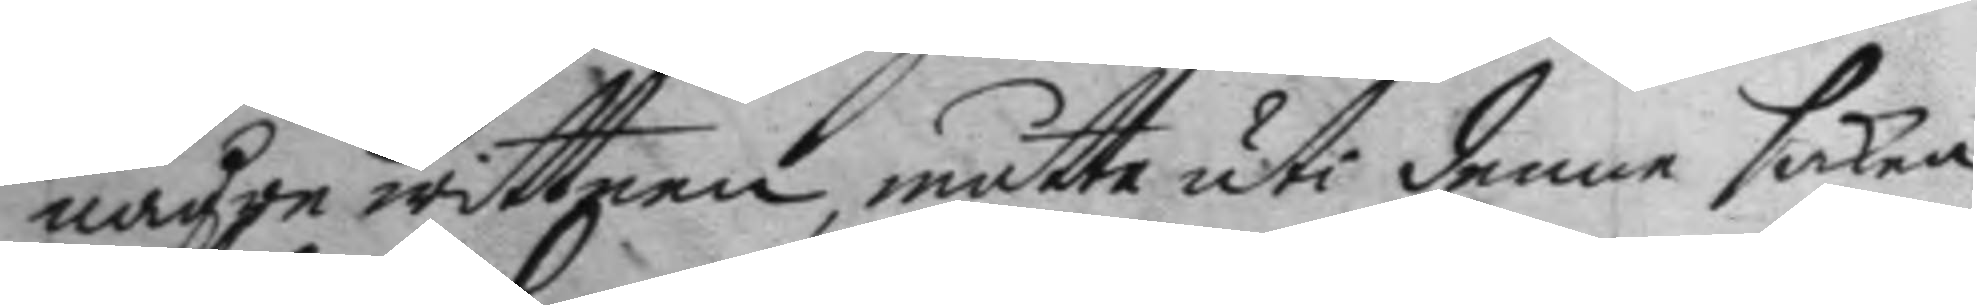någre wittnen, måtte uti denne saken
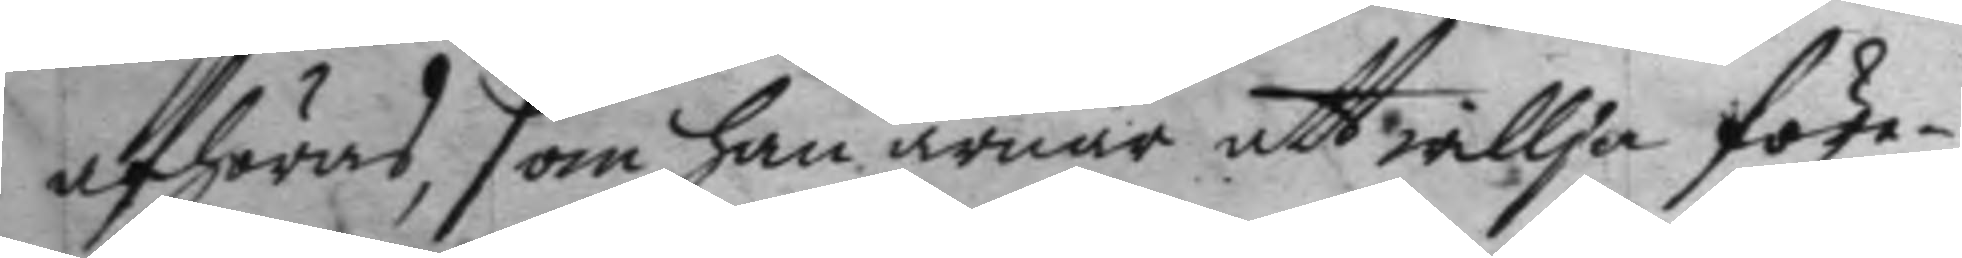afhöras, som han ärnar att willja före¬
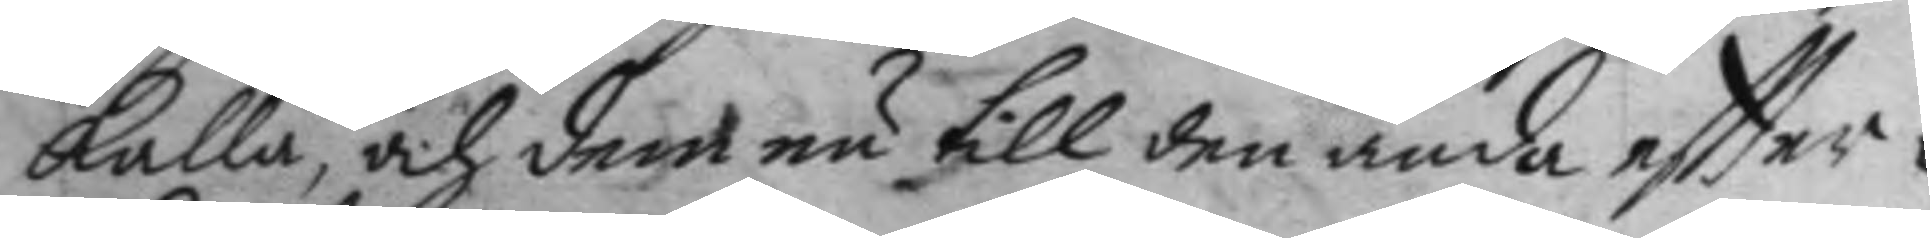kalla, och dem nu till den ända eftter¬
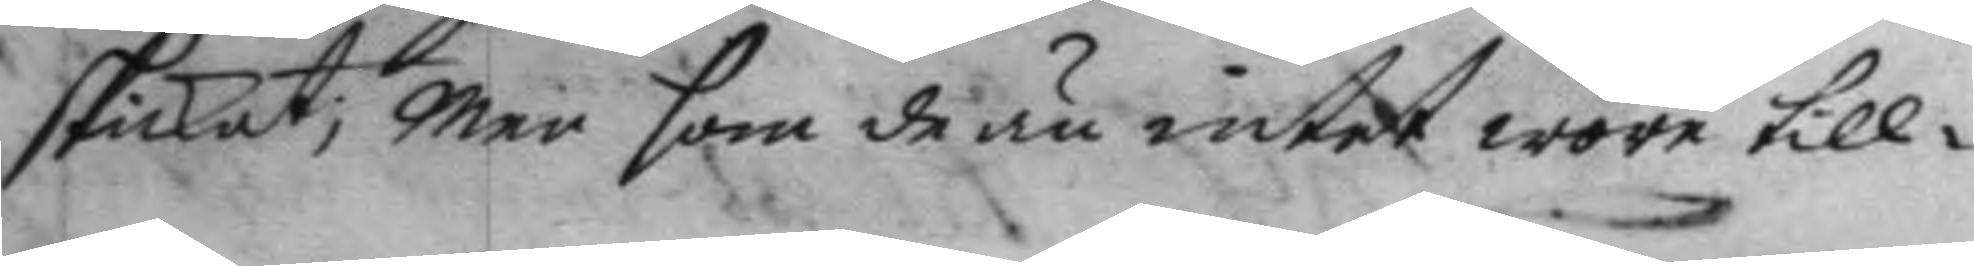skickat; Men som de än intet wore till¬
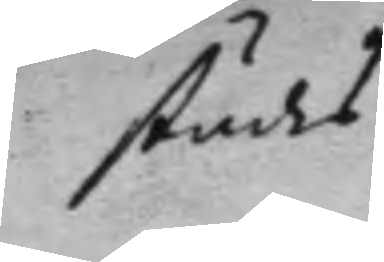städes
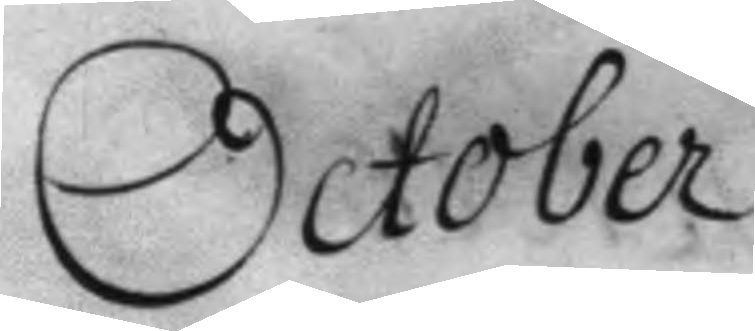October
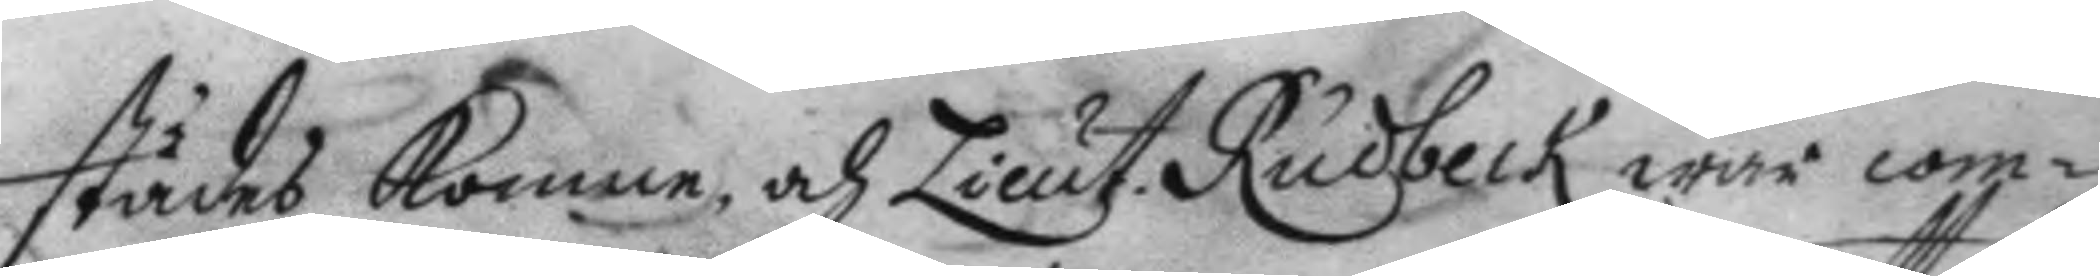städes komne och Lieut. Rudbeck war com¬
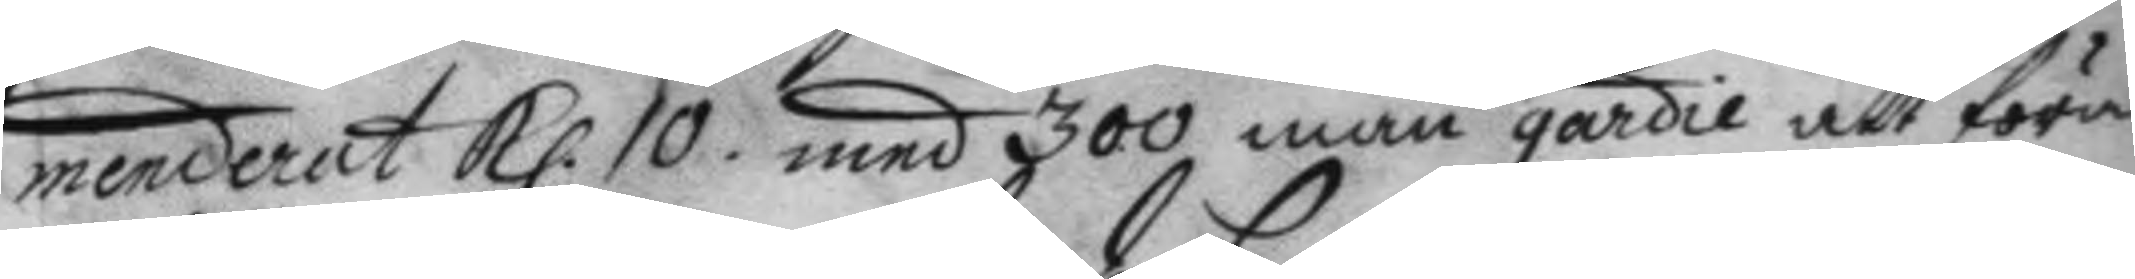menderat Kl. 10. med 300 man gardie att föra 
